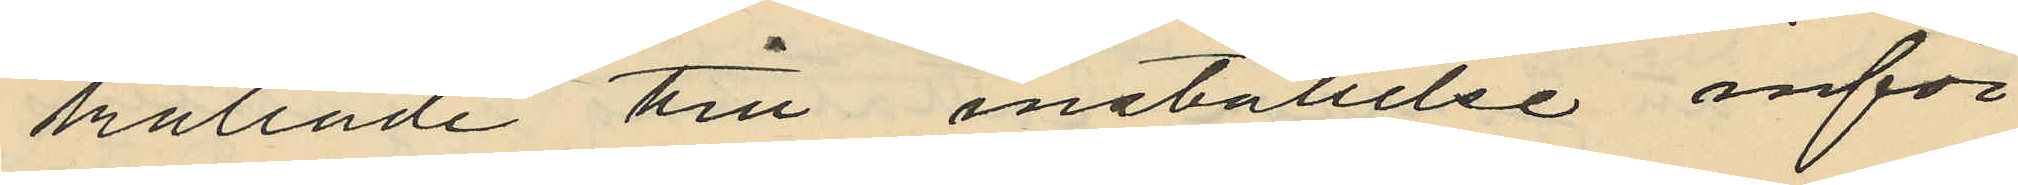kallade till inställllse inför
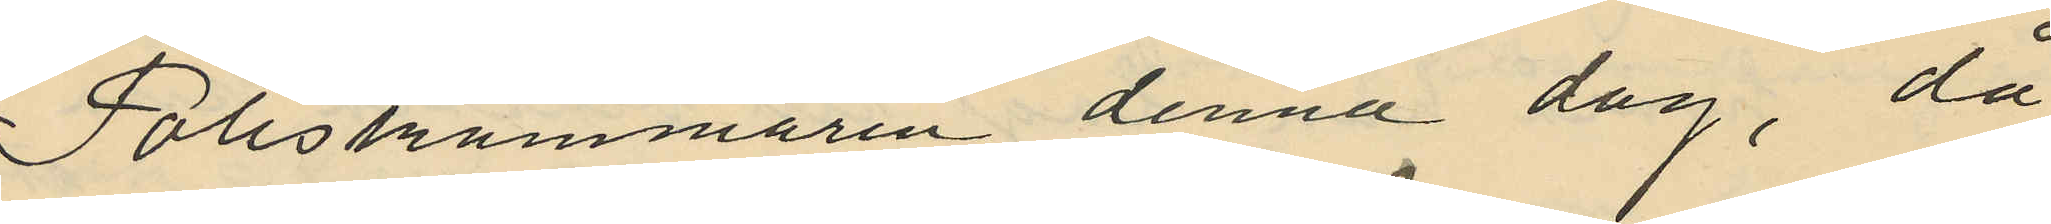Poliskammaren denna dag, då
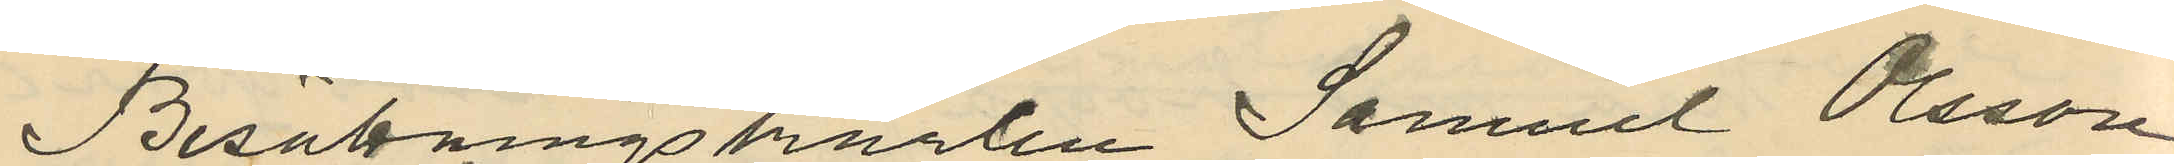Besättningskarlen Samuel Olsson
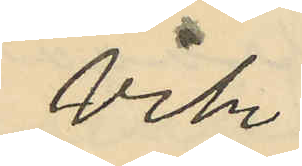Vik
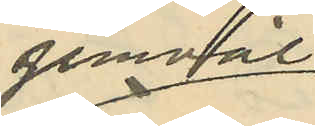jemväl
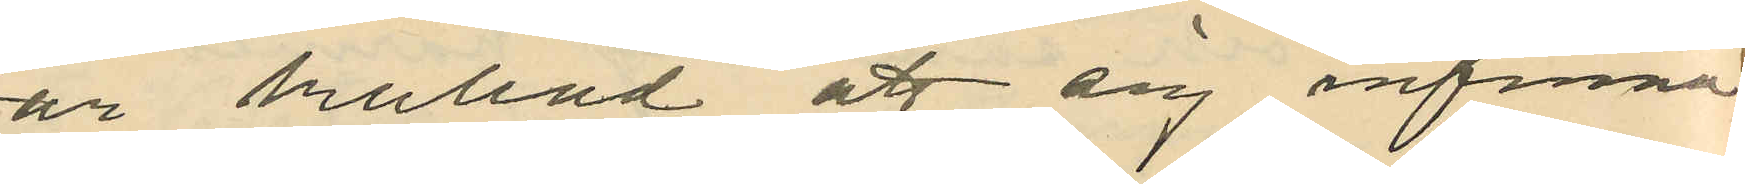är kallad att sig infinna
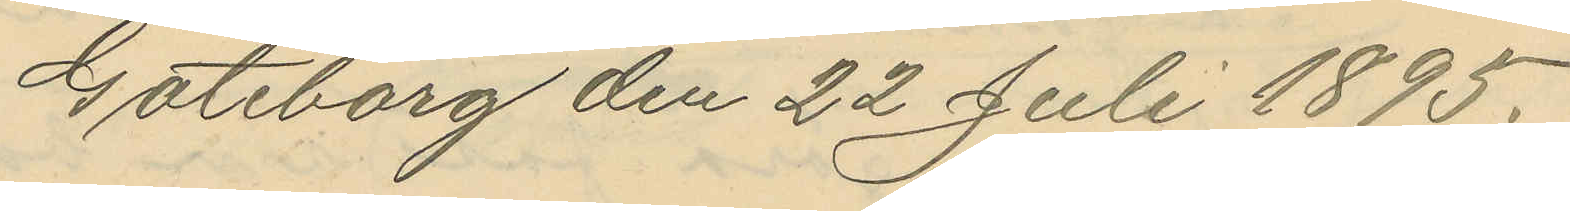Göteborg den 22 Juli 1895.
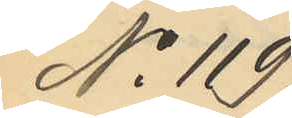No 119
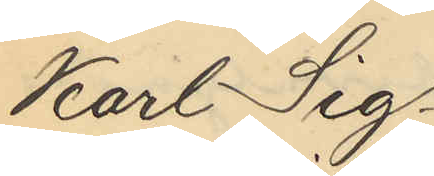Karl Sig¬
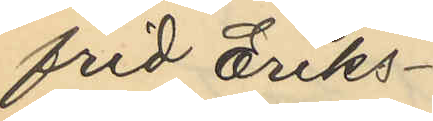frid Eriks¬
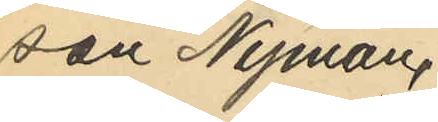son Nyman,
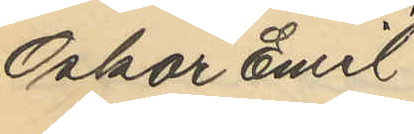Oskar Emil
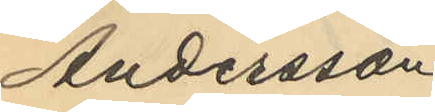Andersson
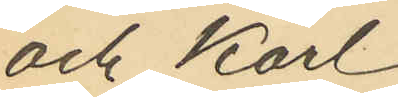och Karl
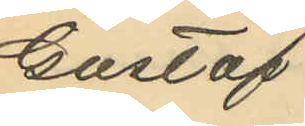Gustaf
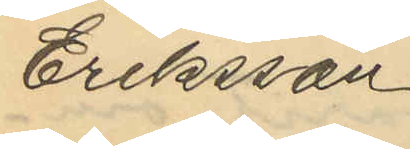Eriksson
